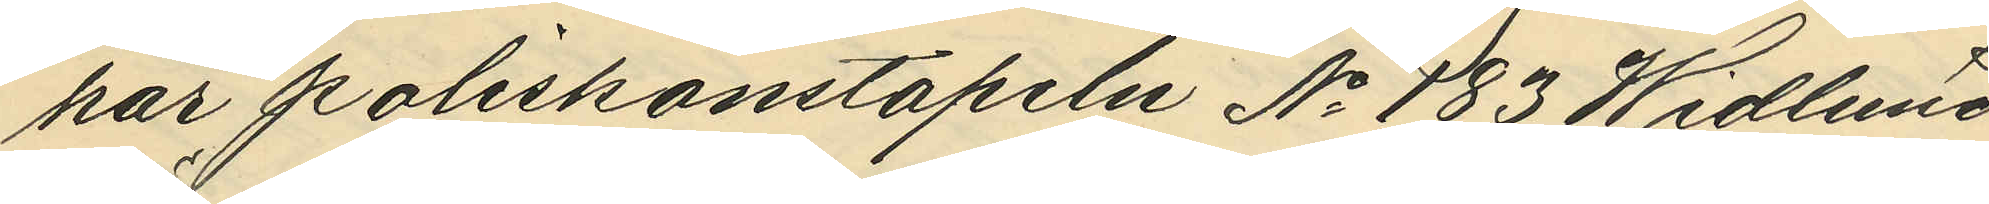har poliskonstapeln No 183 Widlund
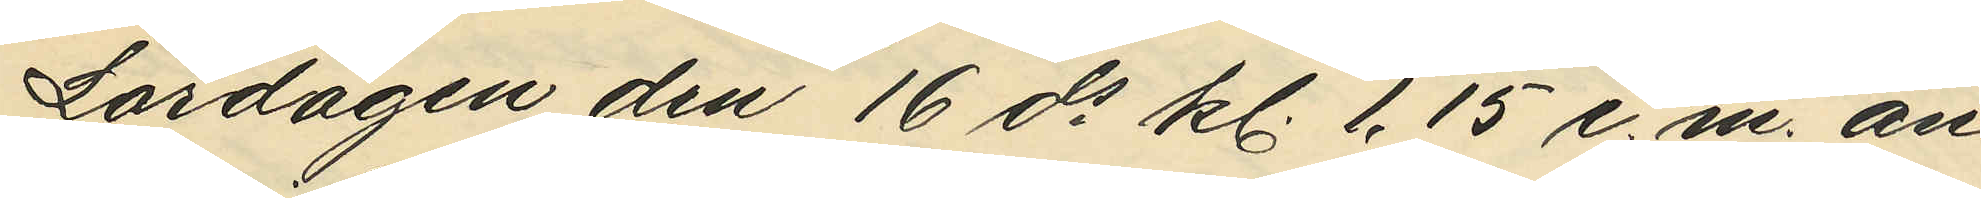Lördagen den 16 ds kl. 1.15 e.m. an¬
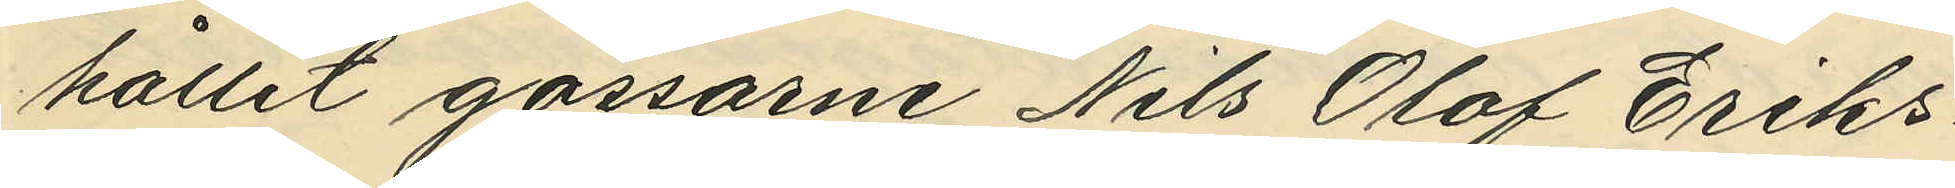hållit gossarne Nils Olof Eriks¬
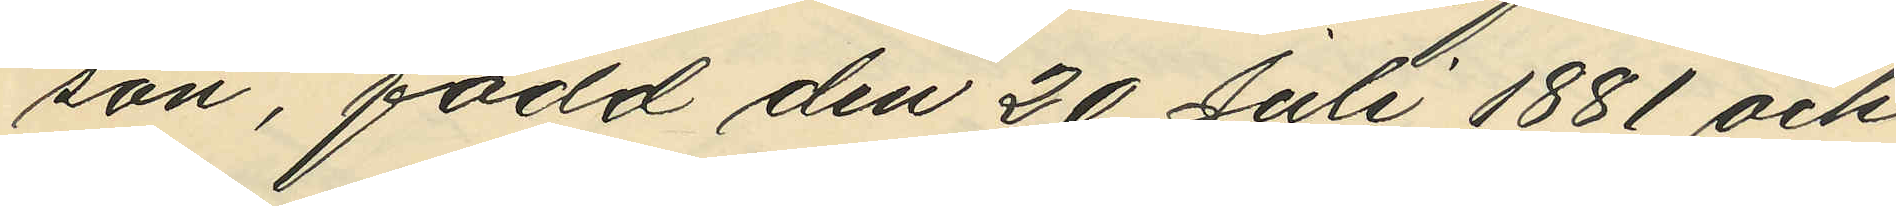son, född den 20 Juli 1881 och
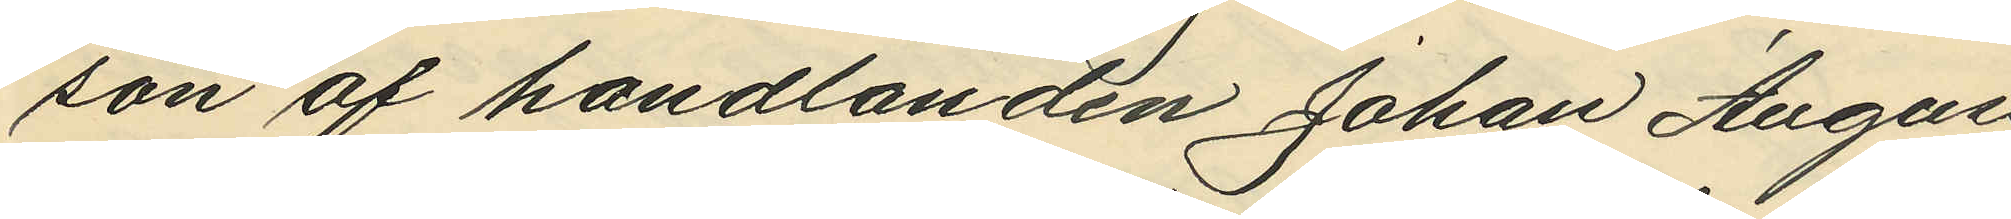son af handlanden Johan August
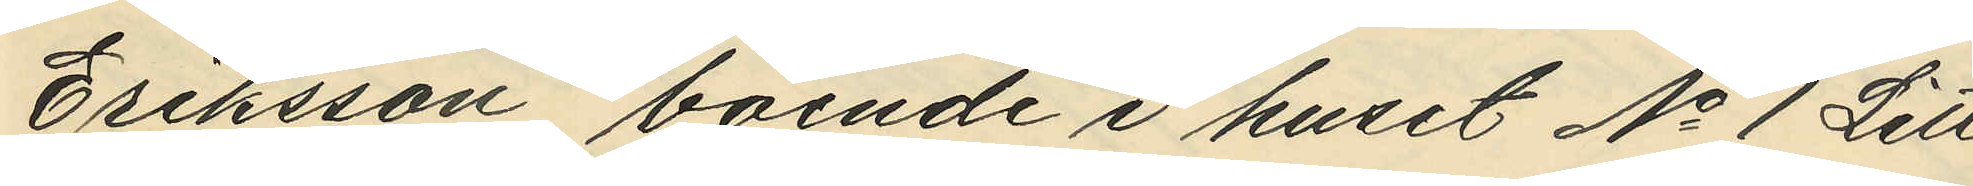Eriksson, boende i huset No 1 Litt
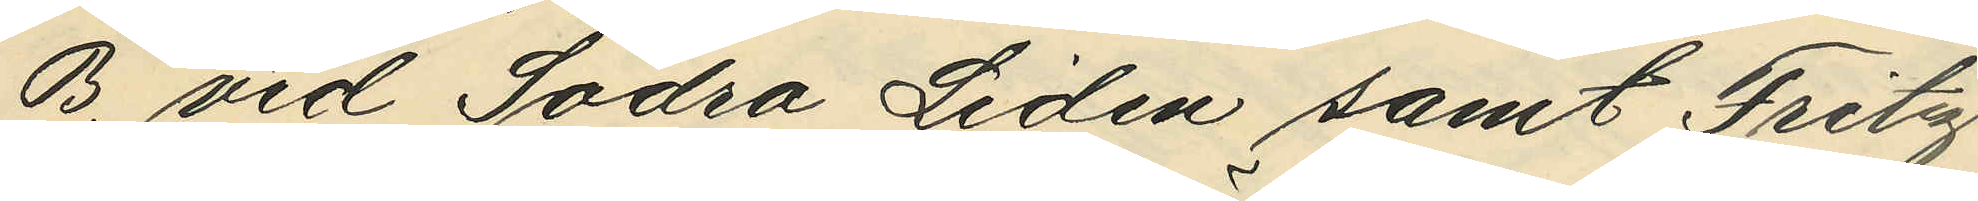B. vid Södra Liden samt Fritz
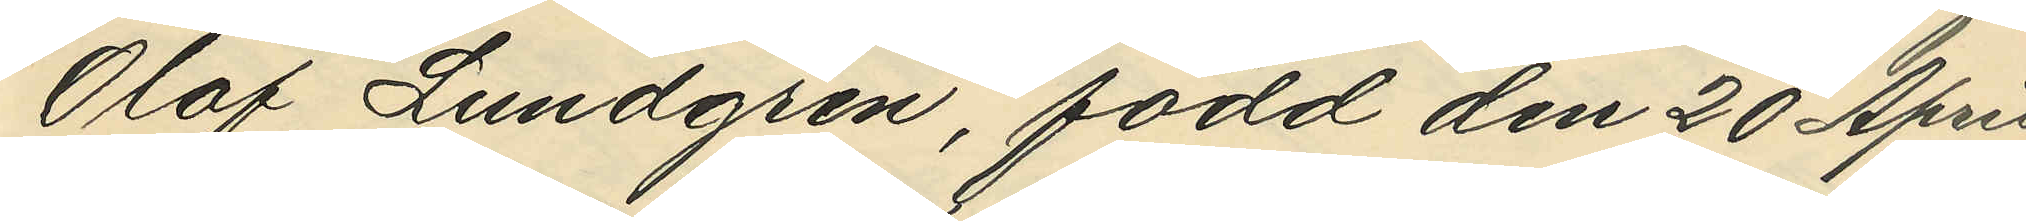Olof Lundgren, född den 20 April
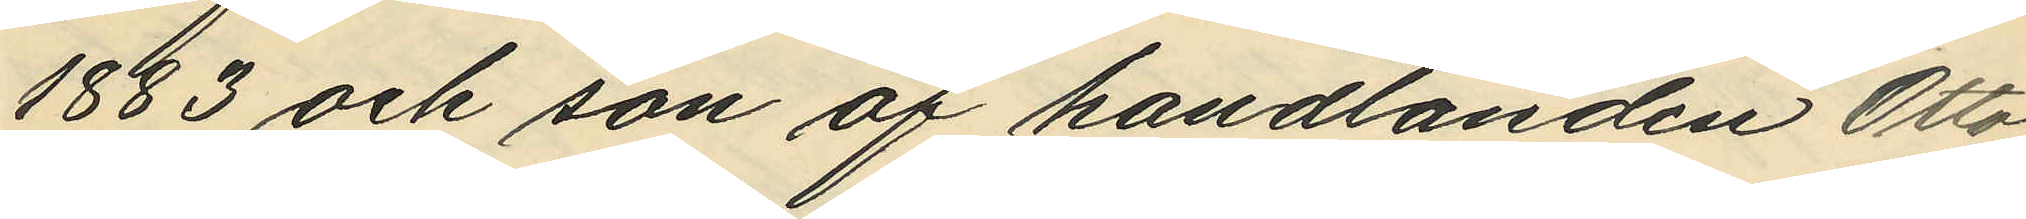1883 och son af handlanden Otto
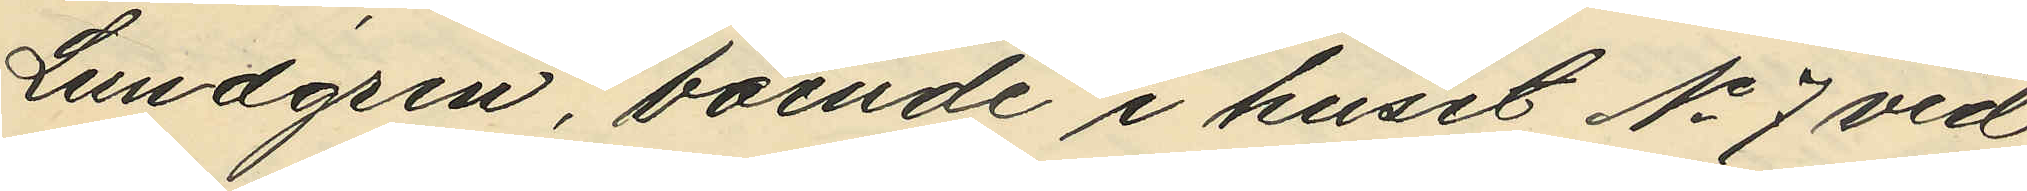Lundgren, boende i huset No 7 vid
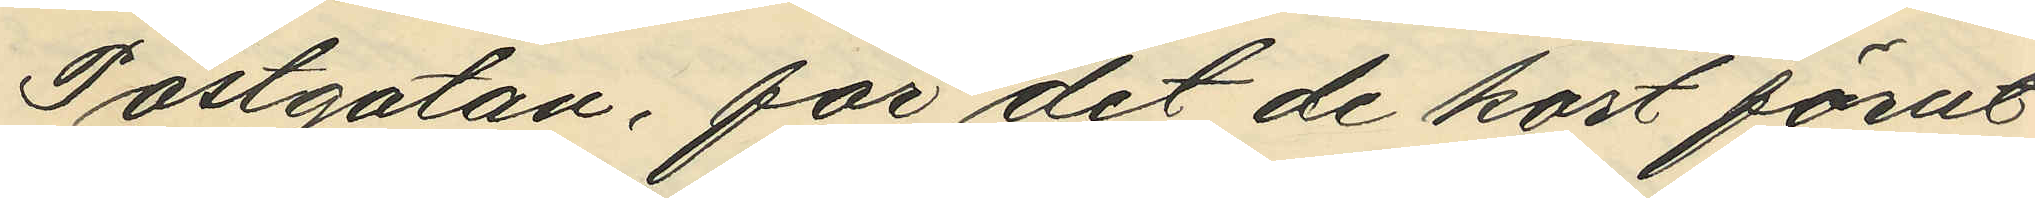Postgatan, för det de kort förut
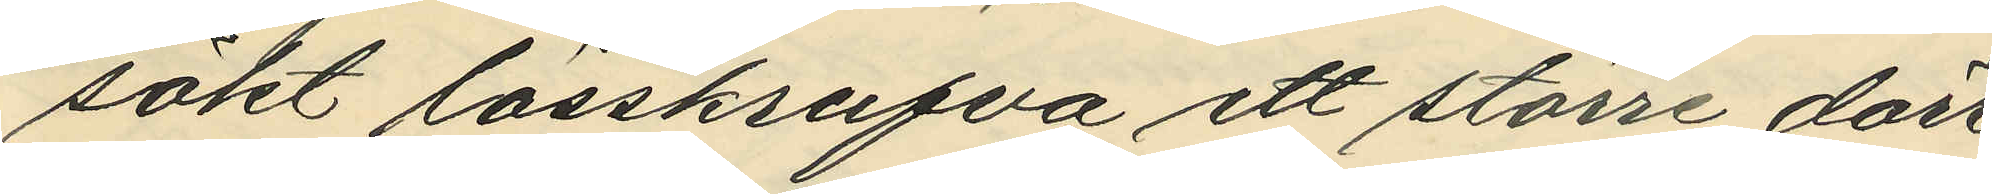sökt lösskrufva ett större dörr¬
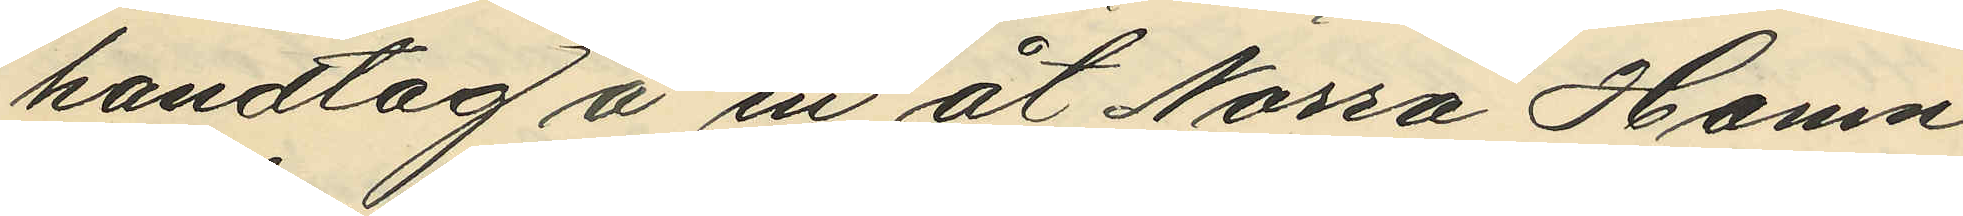handtag å en åt Norra Hamn¬
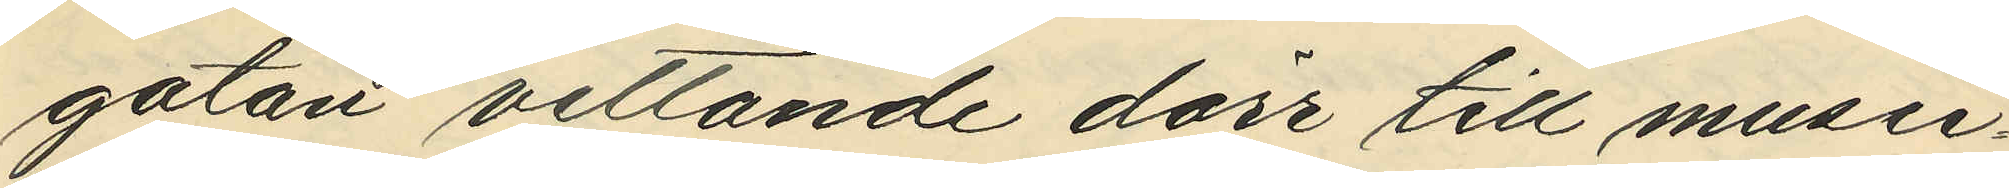gatan vettande dörr till musei¬
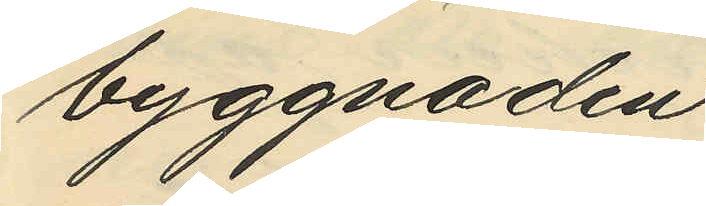byggnaden.
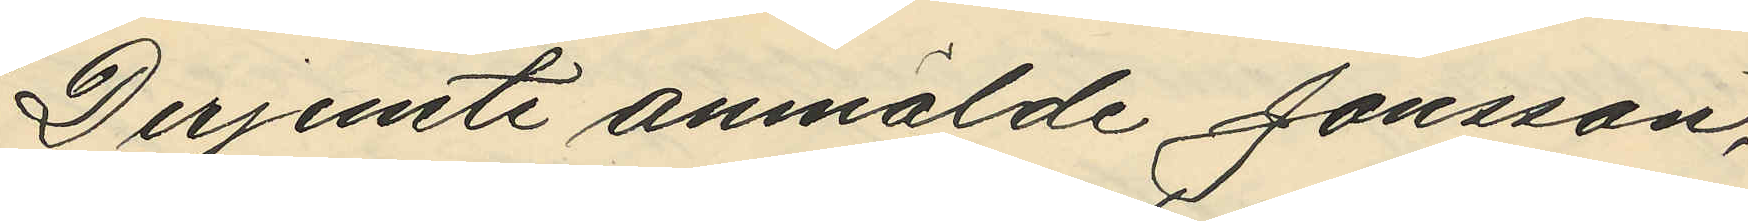Derjemte anmälde Jansson,
